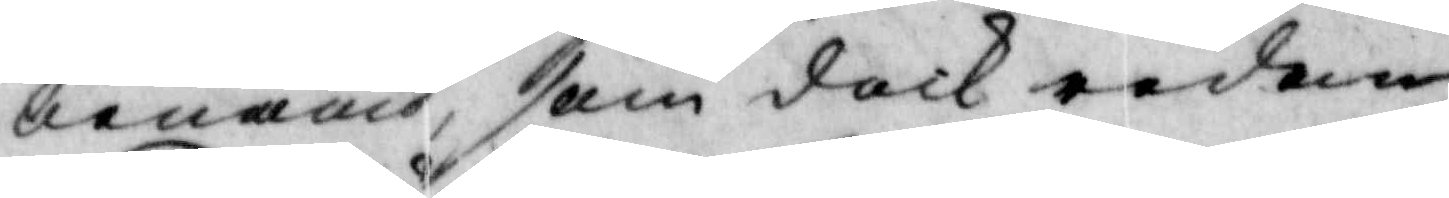benämd, som doch redan
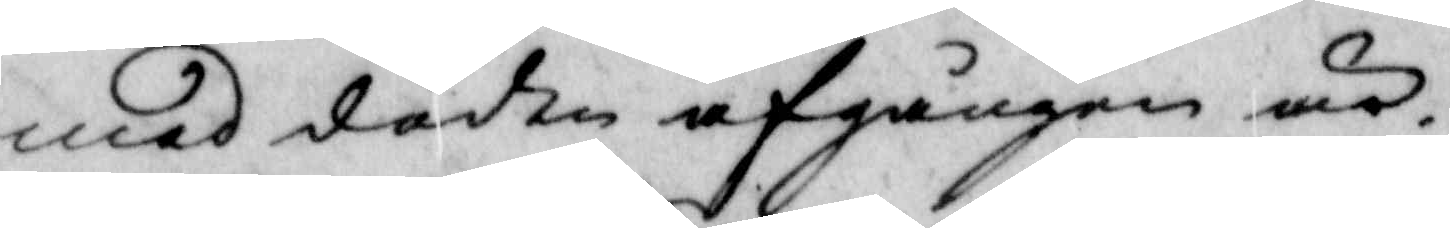med döden afgången är.
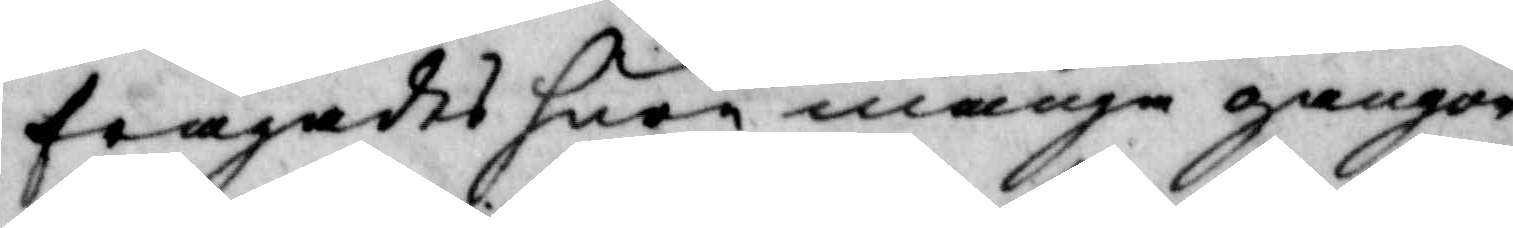frågades huar många gånger
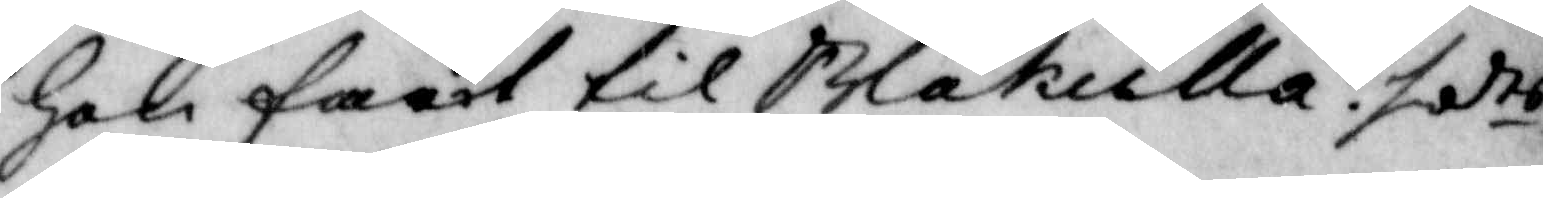hon farit til Blakulla? sadts
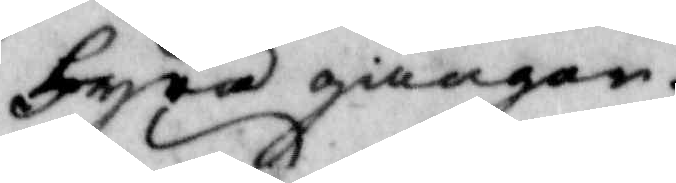fyra giånger.
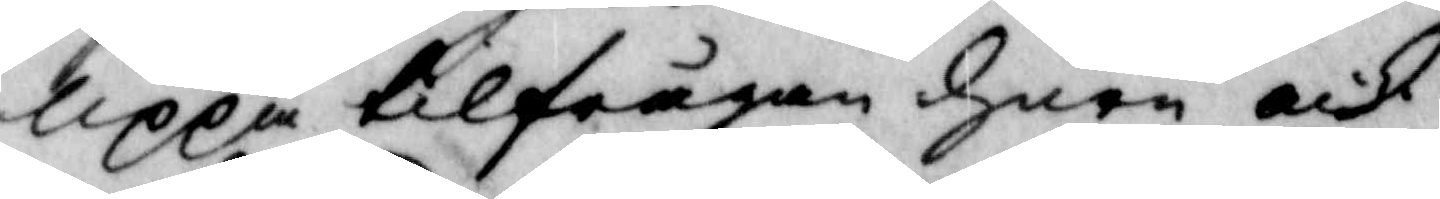Uppå tilfrågan huar och
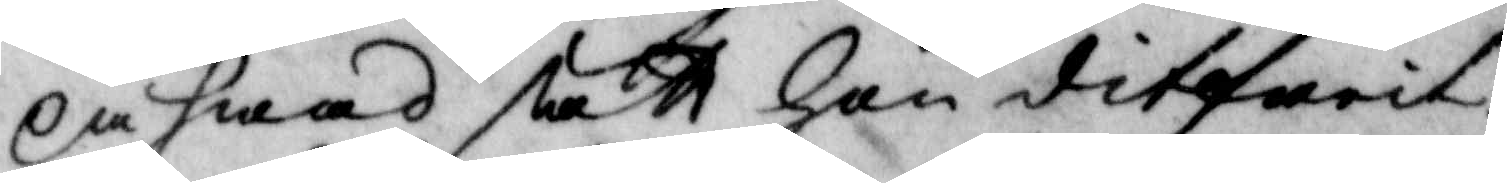på hwad sätt hon ditfarit?
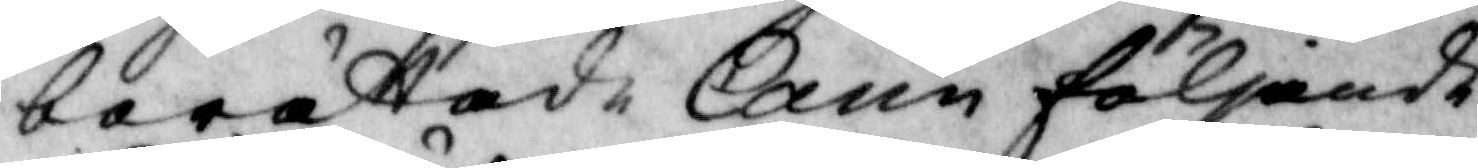berättade Carin följande:
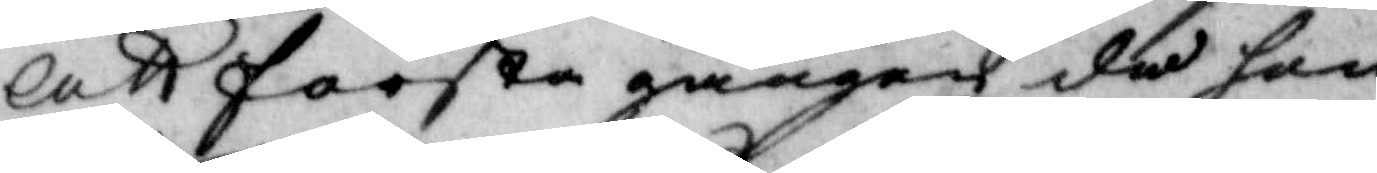Att första gången det hon
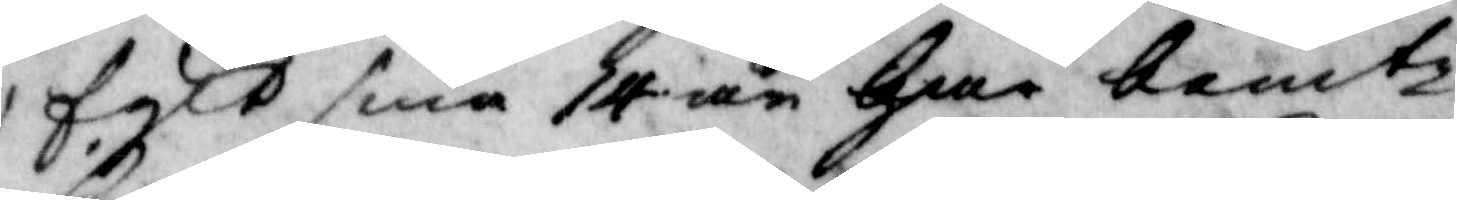fylt sina 14 år har bemte
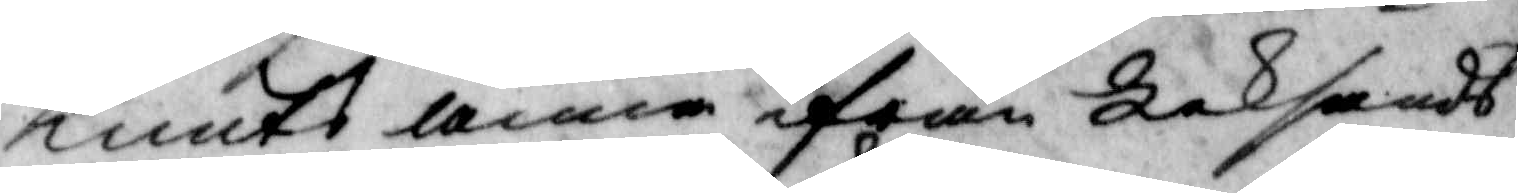Knuts Anna ifrån Leksands
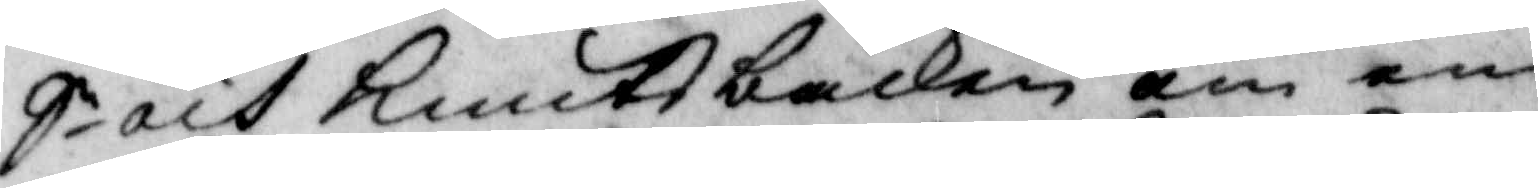S och Knutsbacken om en
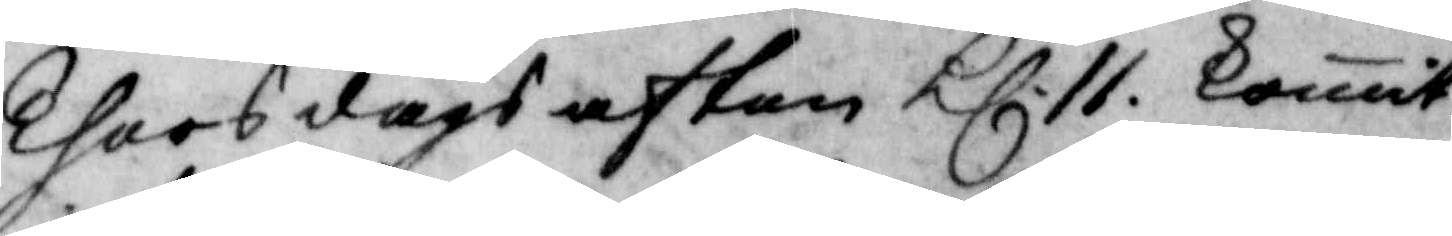Thorsdags afton Kl.11 komit
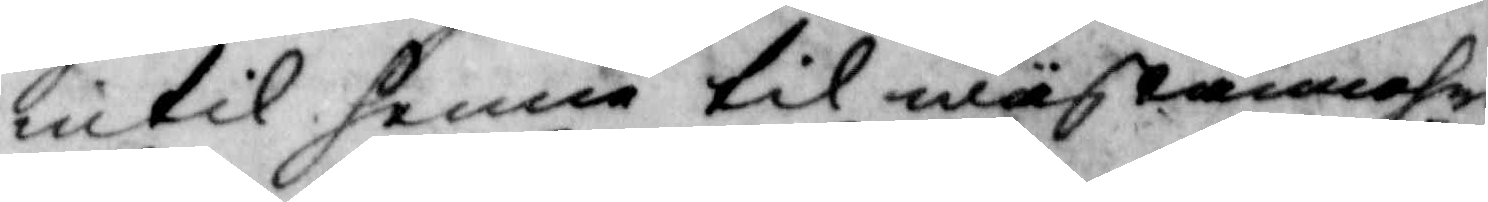intil henne til wäfcammahre
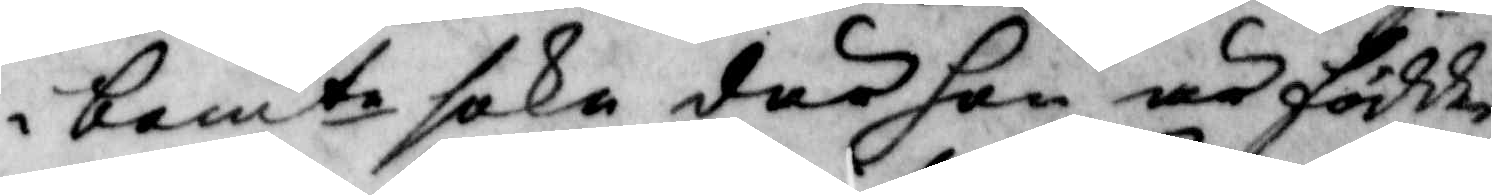i bemte sokn där hon är födde
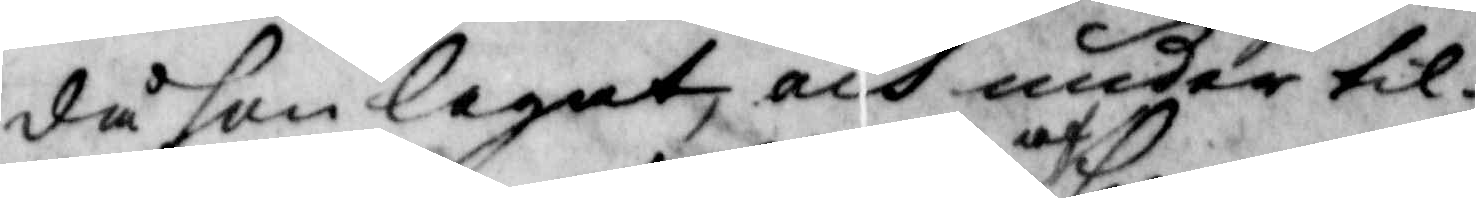då hon legat, och under til¬
